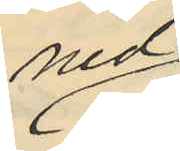ned
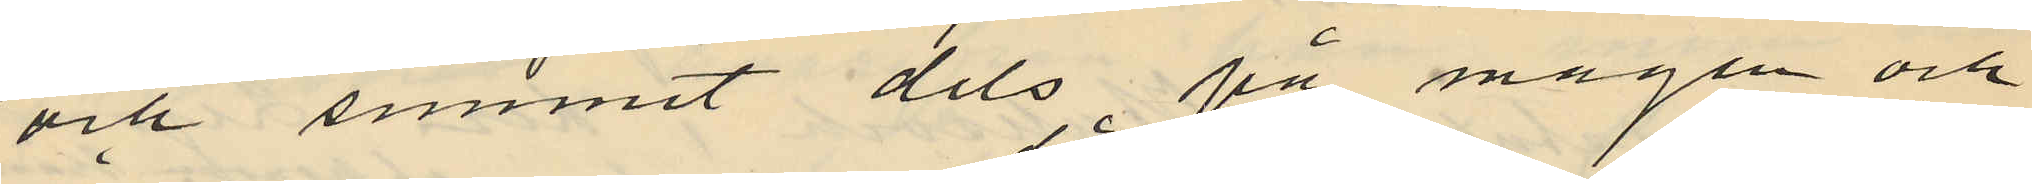och summit dels på magen och
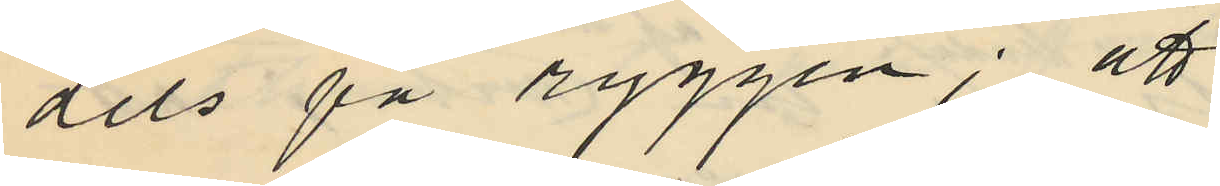dels på ryggen; att
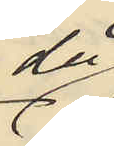då
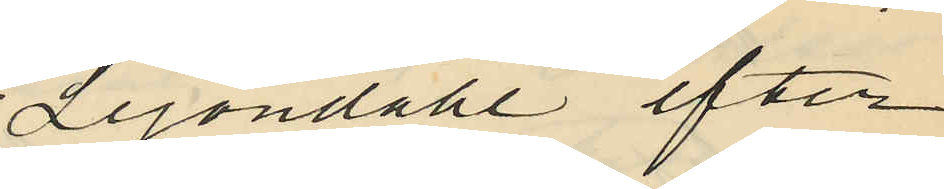Lejondahl efter
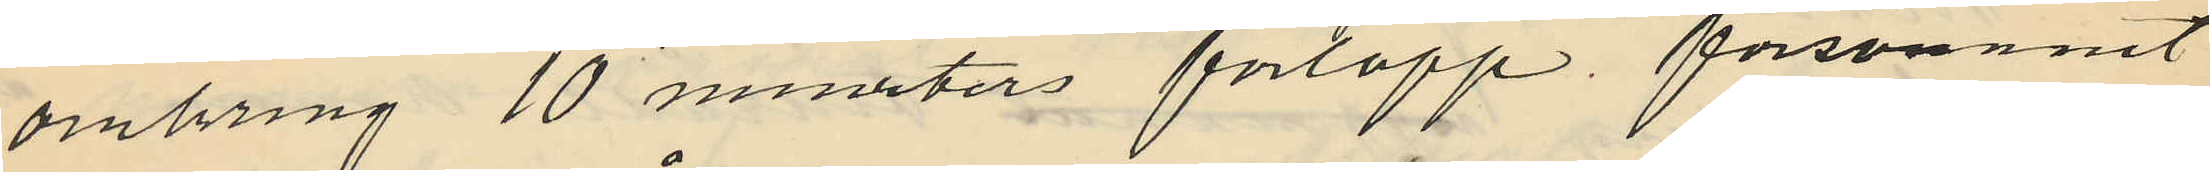omkring 10 minuters förlopp försvunnit
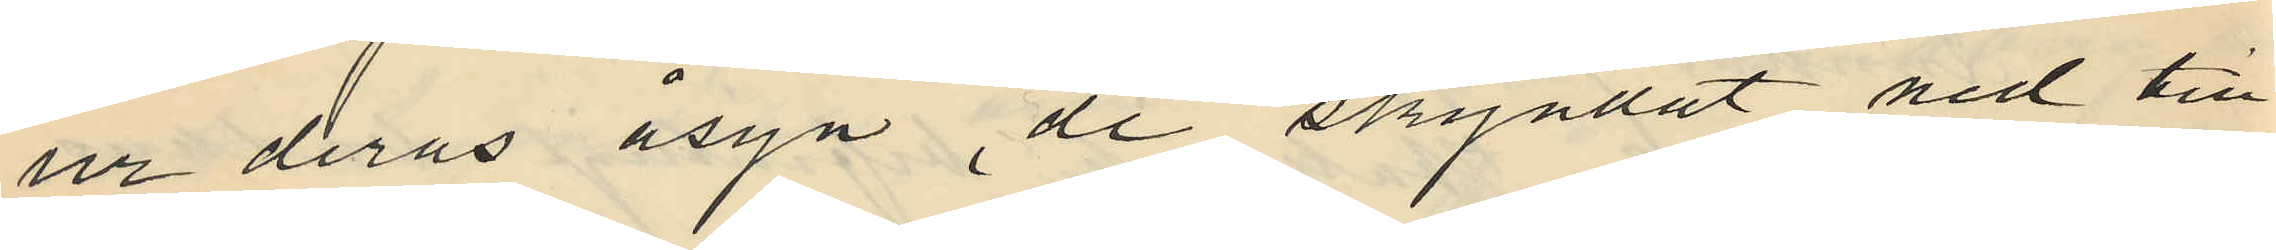ur deras åsyn, de skyndat ned till
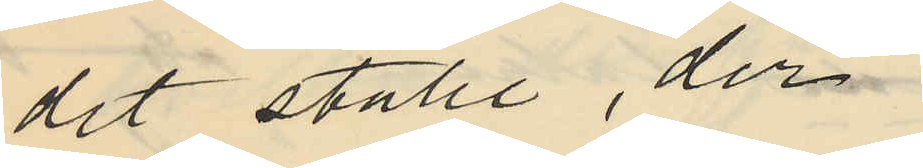det ställe, der
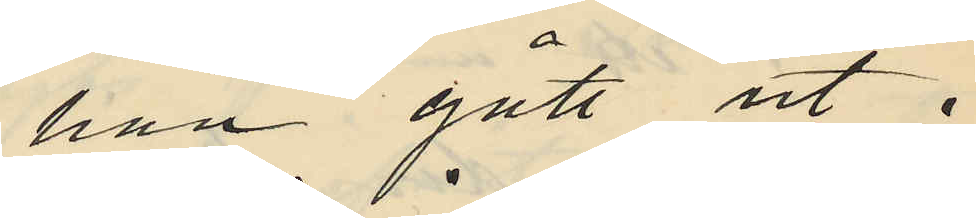han gått ut i
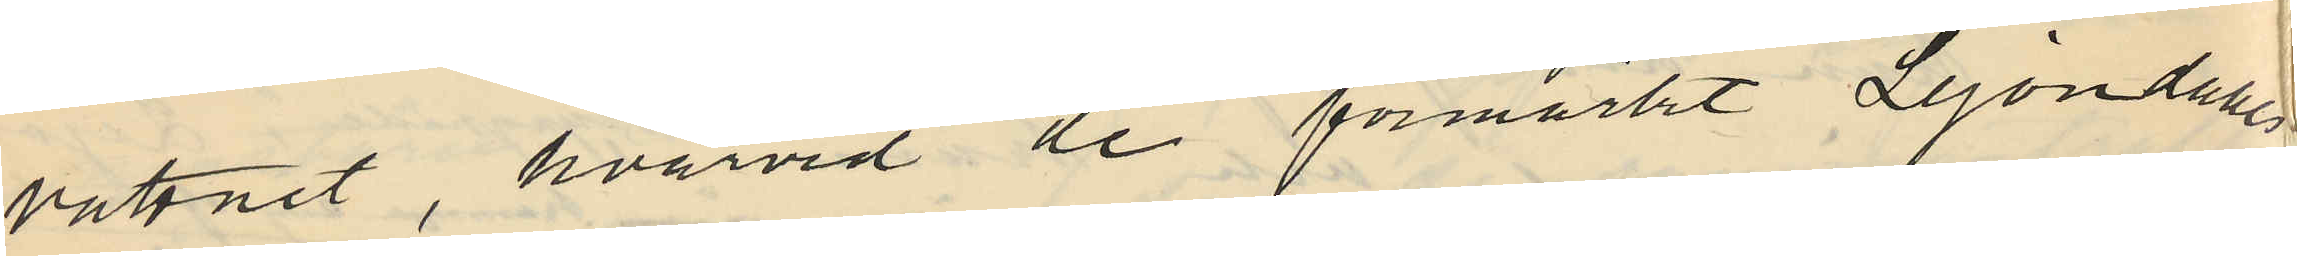vattnet, hvarvid de förmärkt Lejondahls
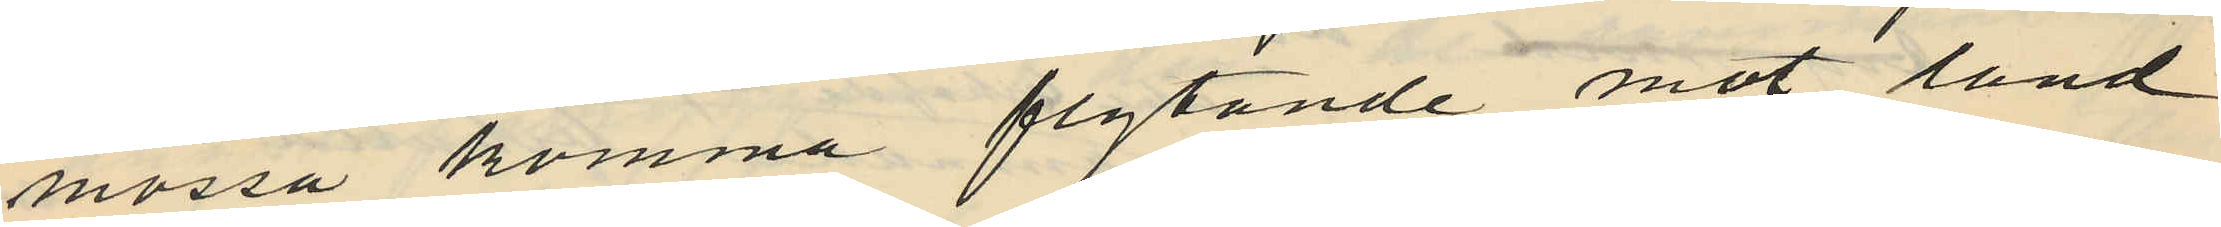mössa komma flytande mot land
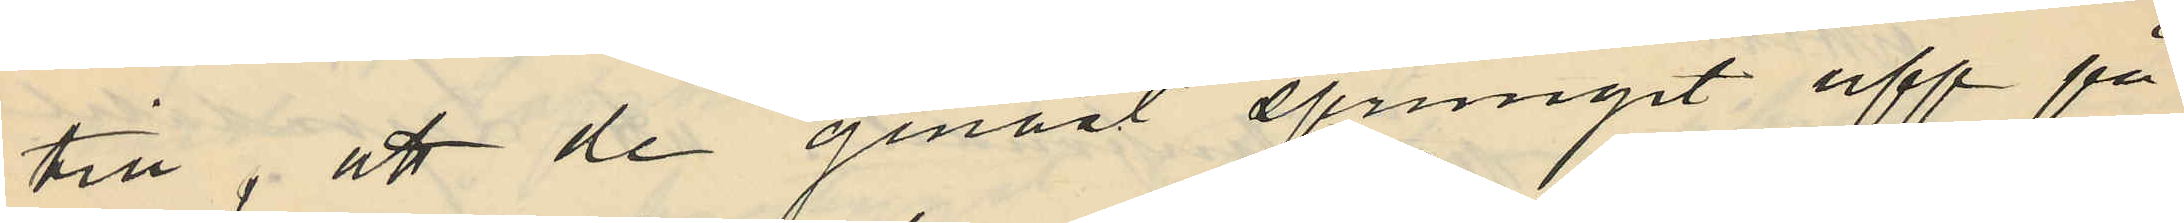till; att de genast sprungit upp på
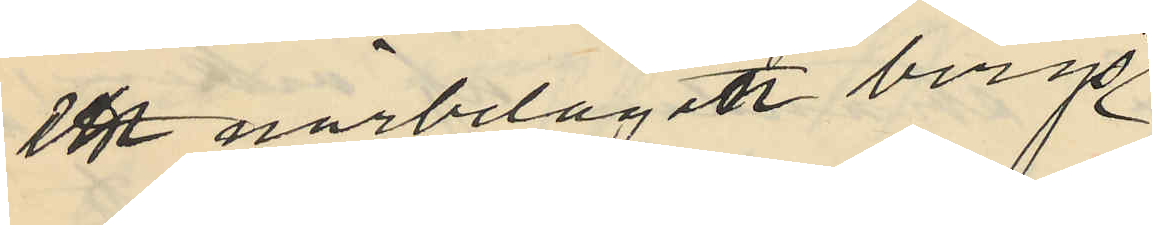en närbelägen bergs¬
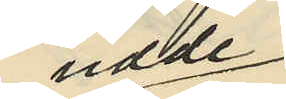udde
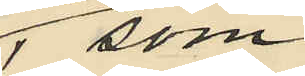 , som
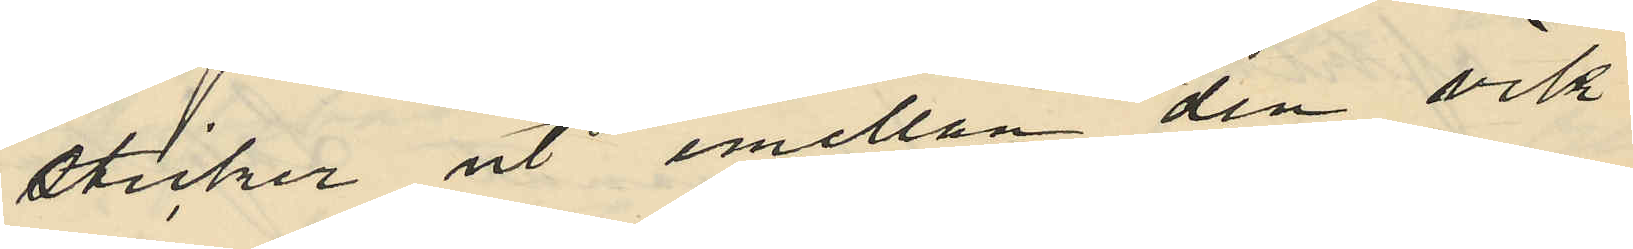sticker ut emellan den vik
